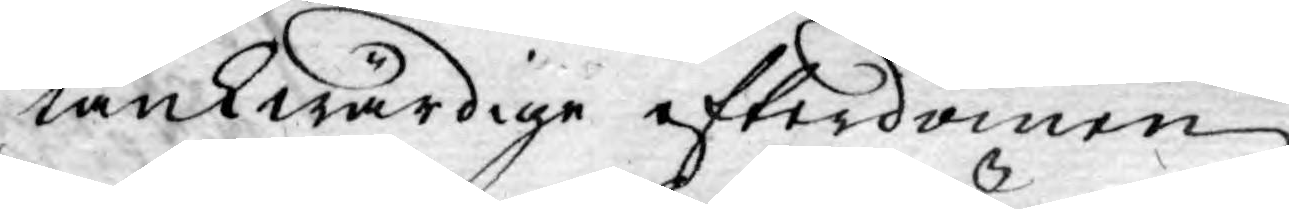tänkwärdige efterdömen
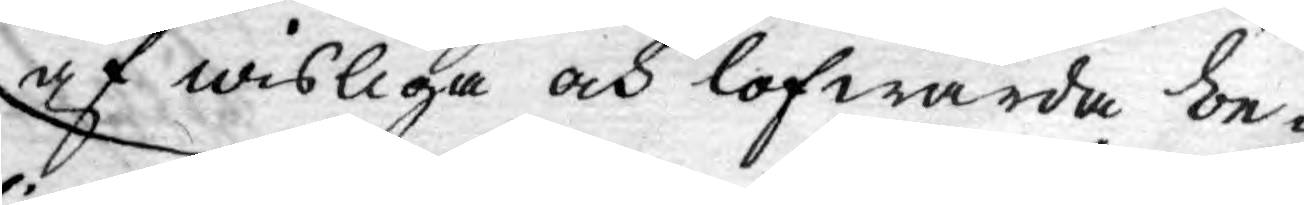af wisliga och lofwärda be-
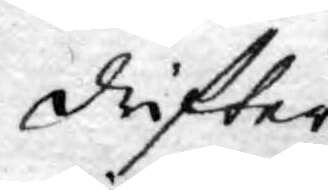drifter
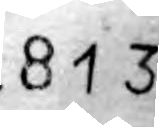813
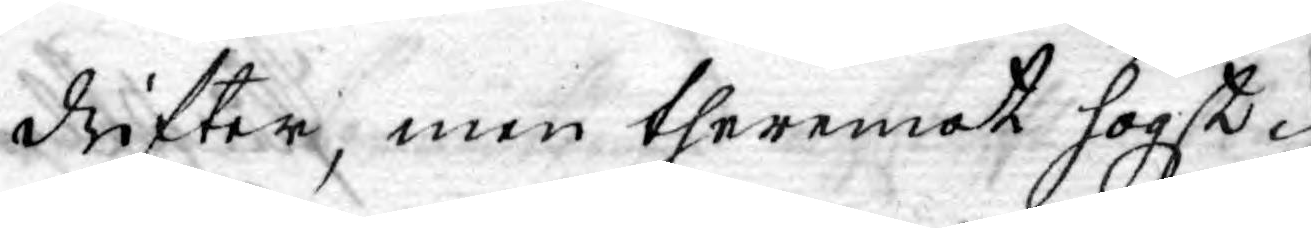drifter, men theremot högst
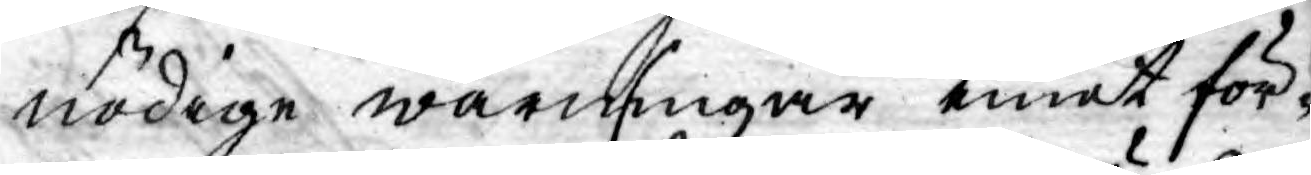nödige warningar emot för-
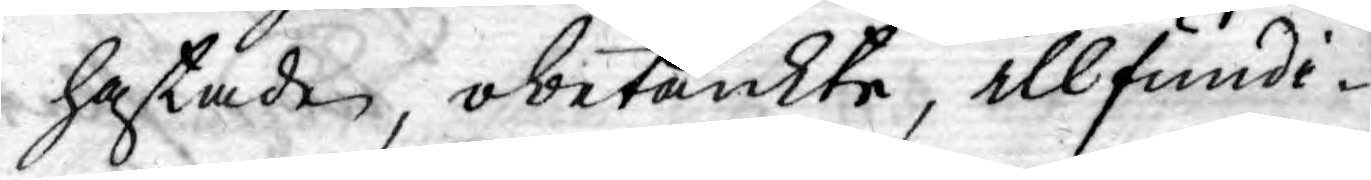hastade, obetänkte, illfundi¬
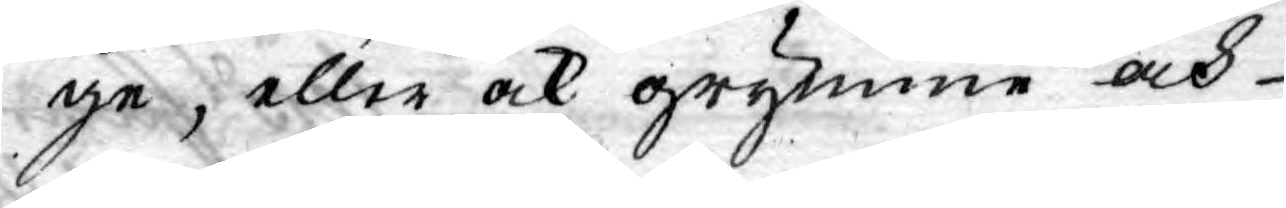ge; eller ock grymme och
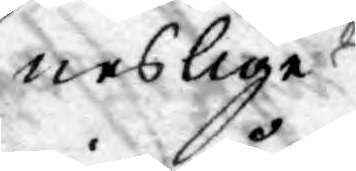neslige
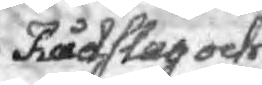Rådslag och
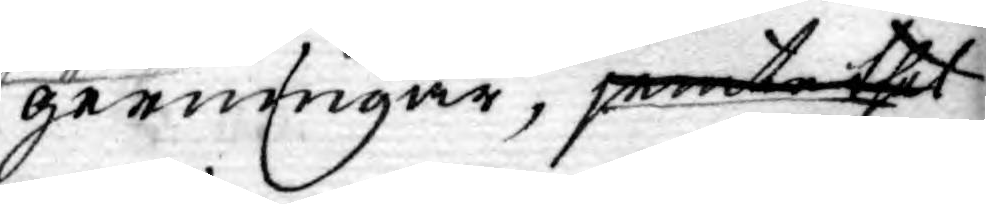gerningar, jemte thet
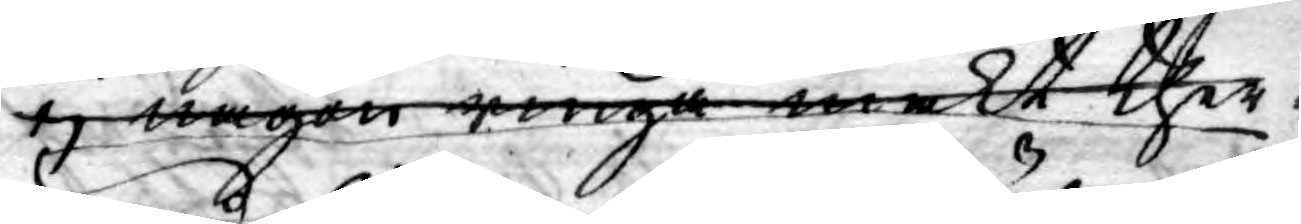ej någon ringa makt ther¬
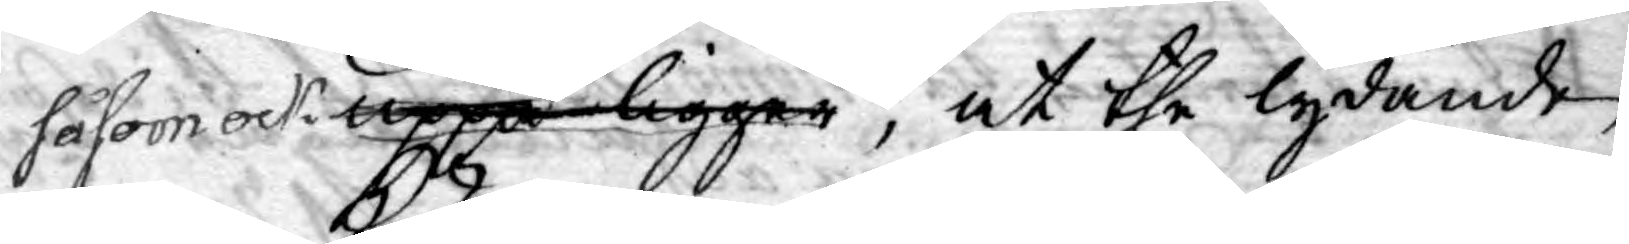uppå ligger,såsom ock at the lydande
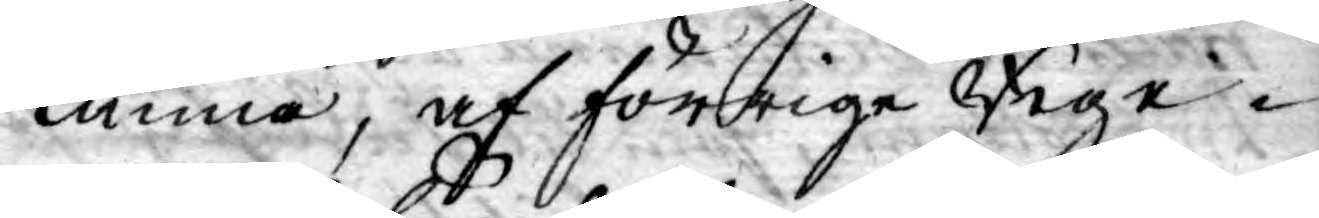kunna, af förrige Rege¬
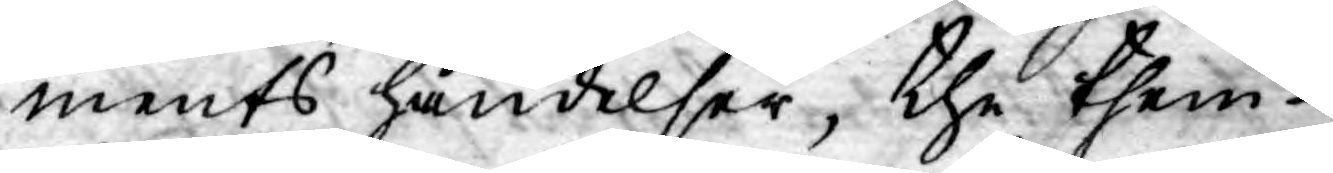ments händelser, the them
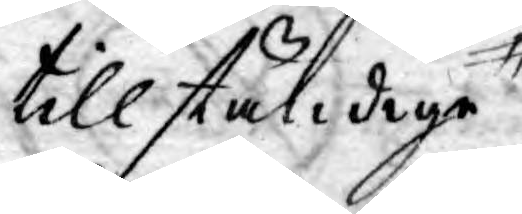tillständige
